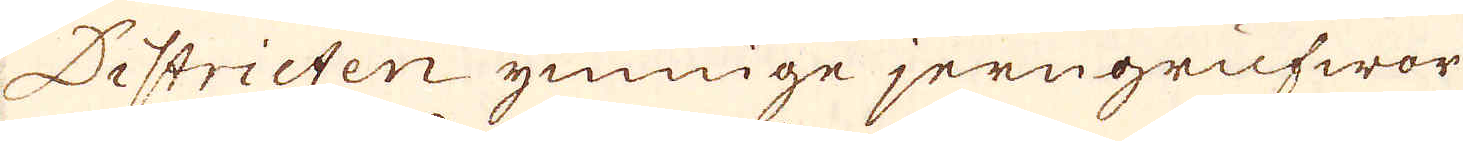Districten ymnige jerngrufwor
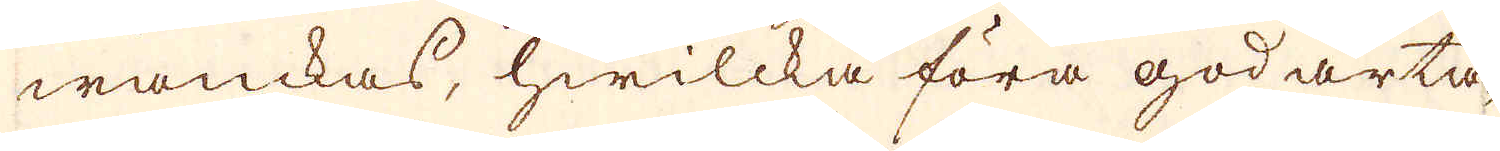wanckas, hwilcka föra godarta-
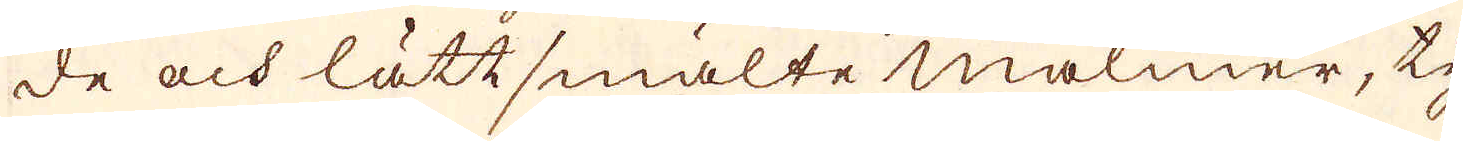de och lättsmälte malmer, ty
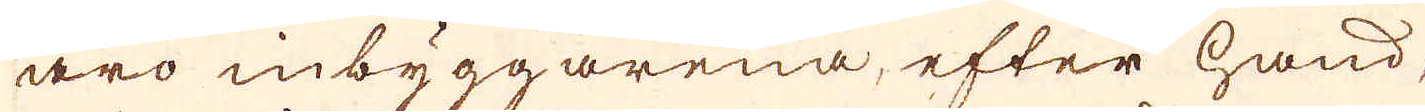äro inbyggarena, efter hand
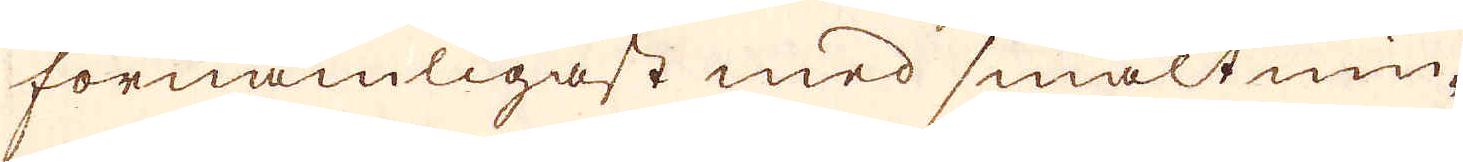förnämligast med smältnin-
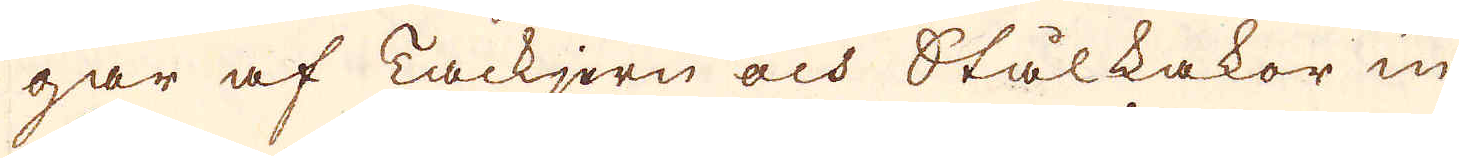gar af Tackjern och Stålkakor in-
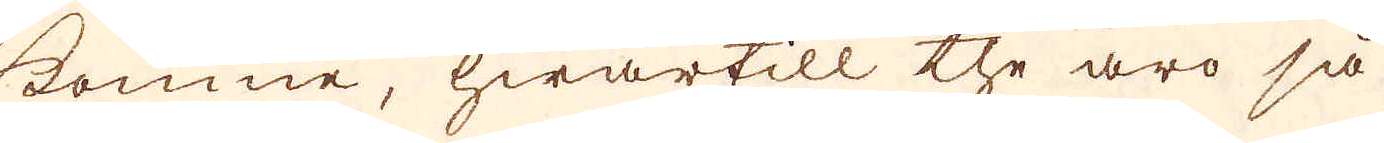komne, hwartill the äro så
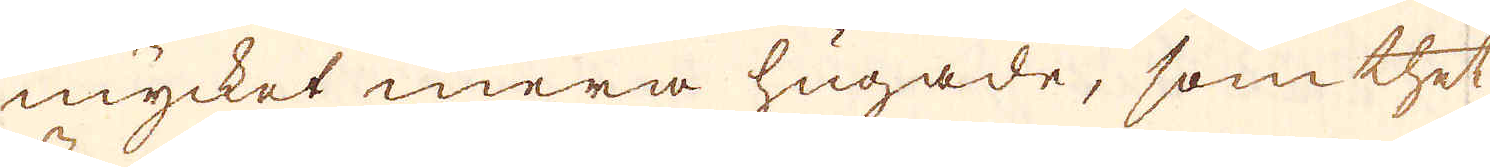mycket mera hugade, som thet
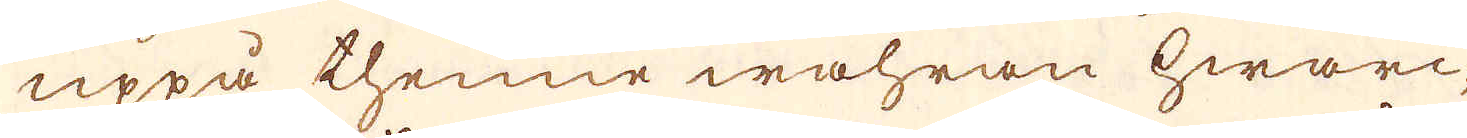uppå thenne wahran hwarc-
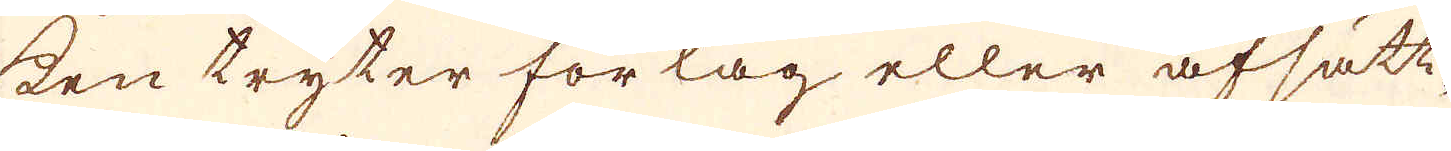ken tryter förlag eller afsätt-
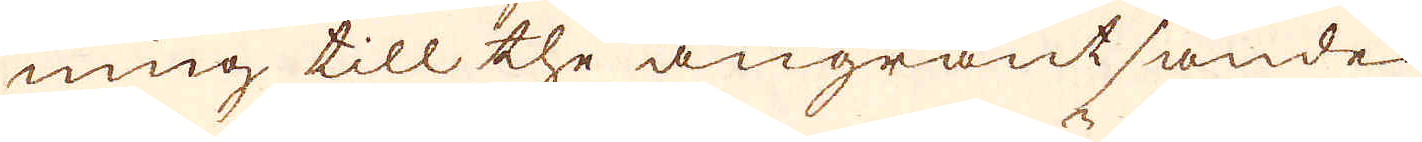ning till the angräntsande
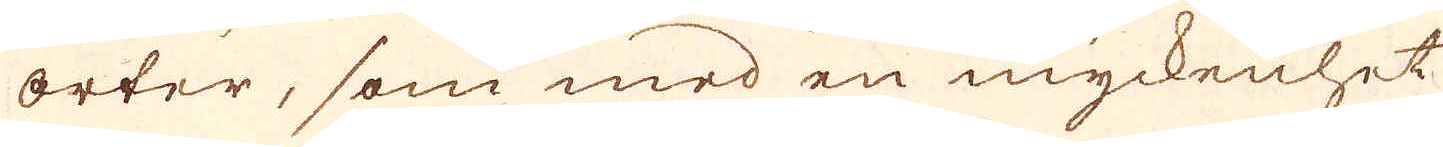orter, som med en myckenhet
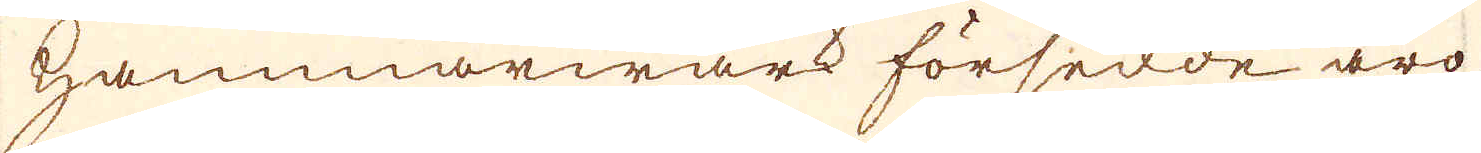hammarwärk försedde äro,
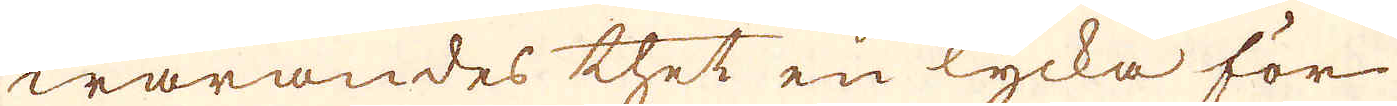warandes thet en lycka för
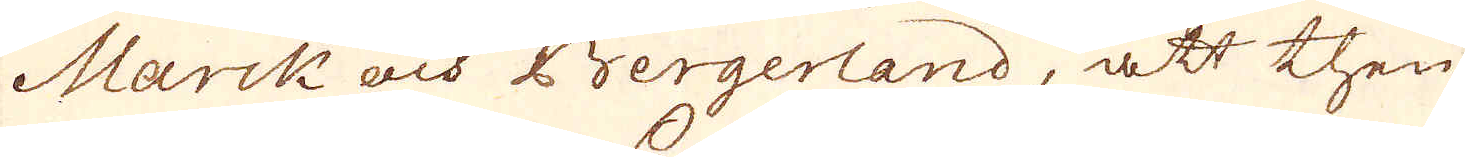Marck och Bergerland, att then-
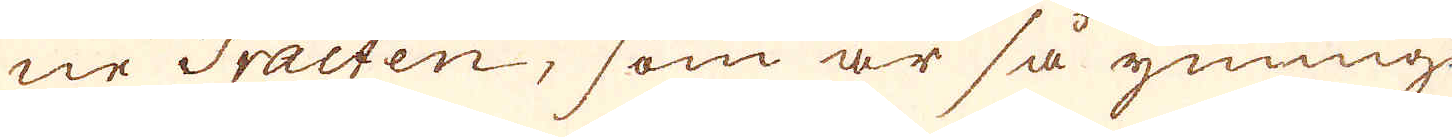ne Tracten, som är så ymnig-
